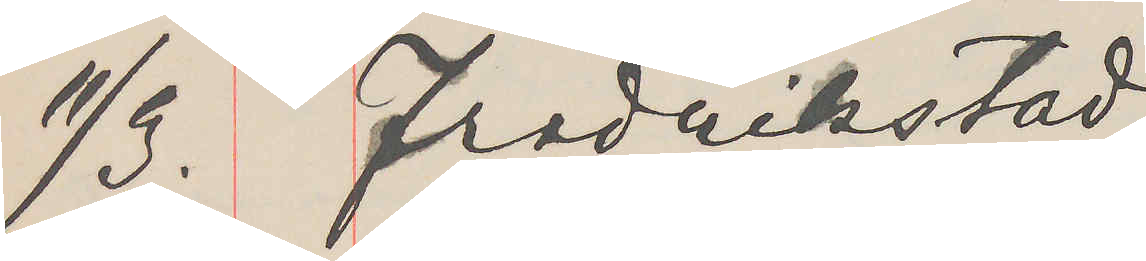11/3. Fredrikstad
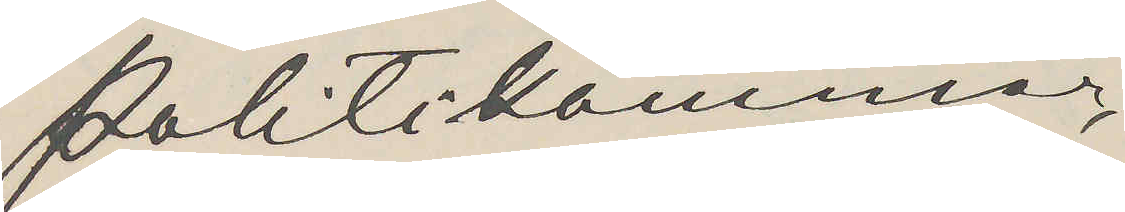Politikammer,
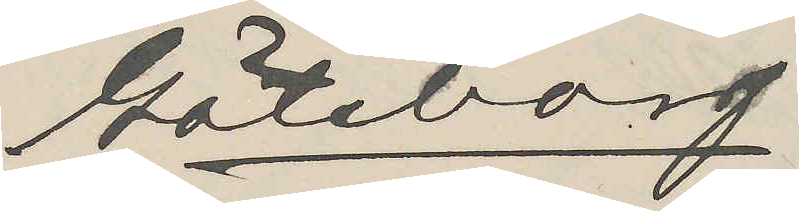Göteborg.
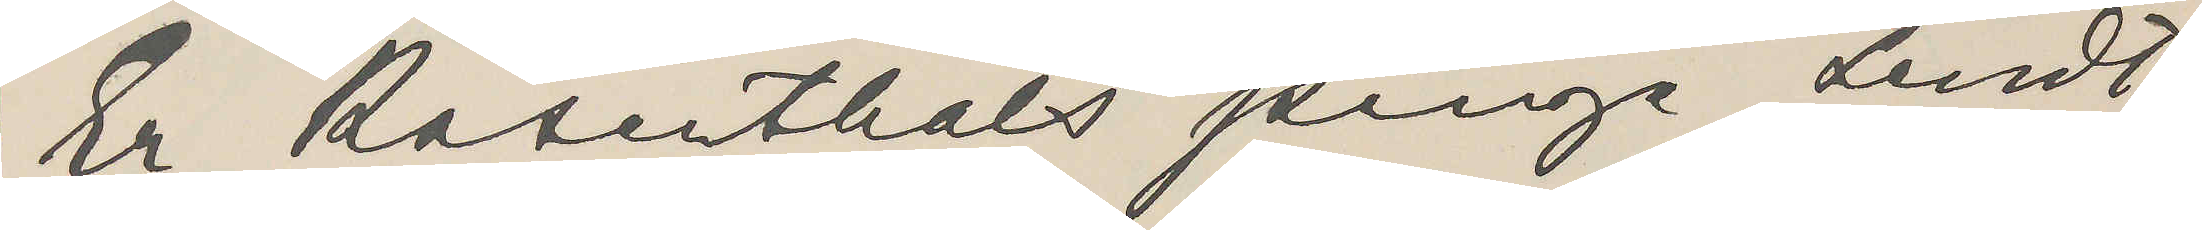Er Rosenthals penge sendt.
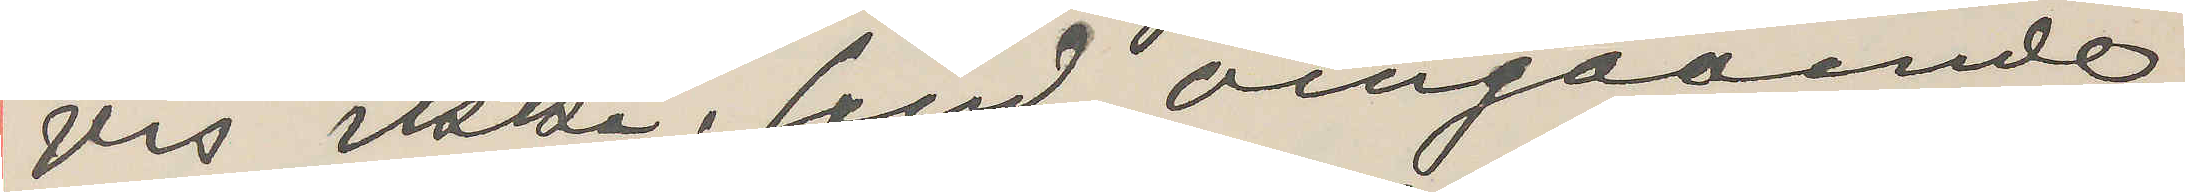vis ikke, send omgaaende,
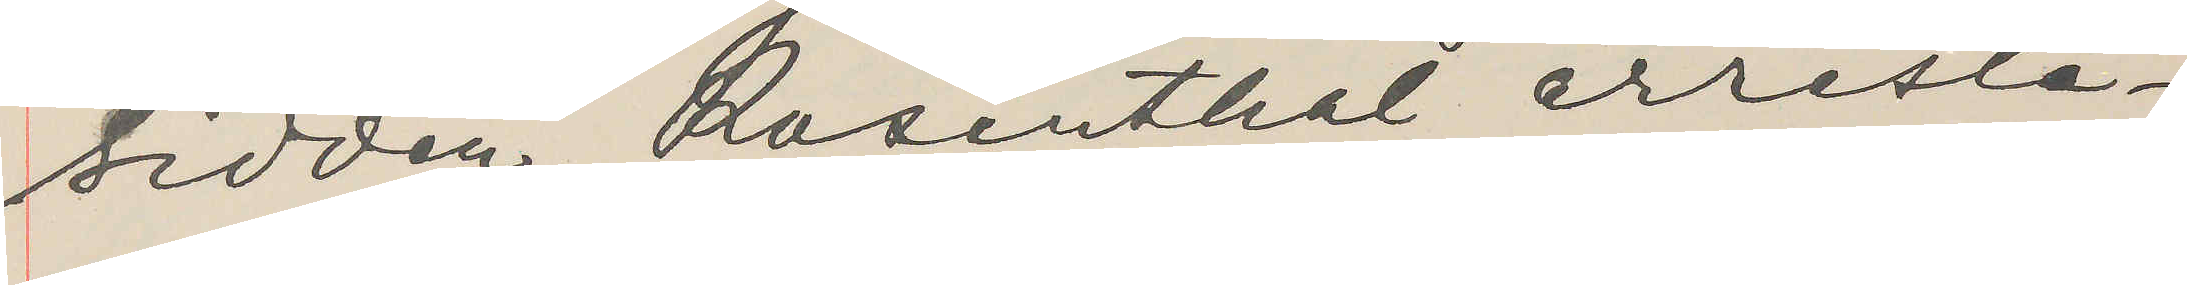sidden Rosenthal arreste¬
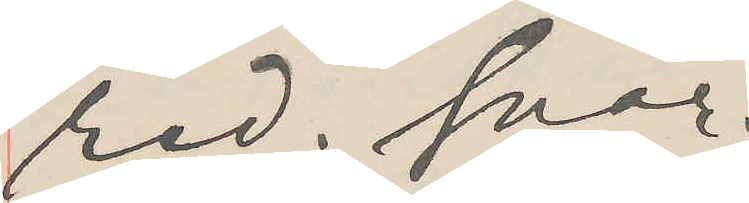red. svar.
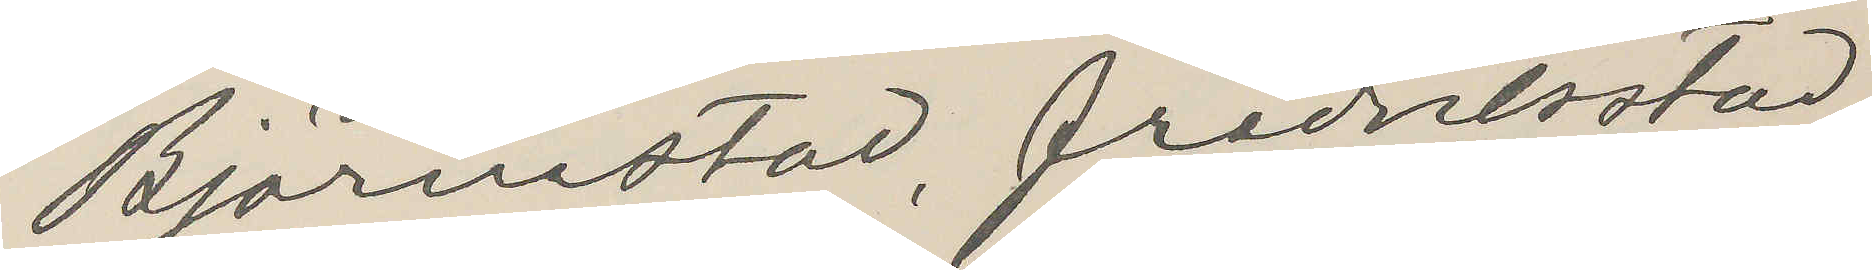Björnstad, Fredrikstad.
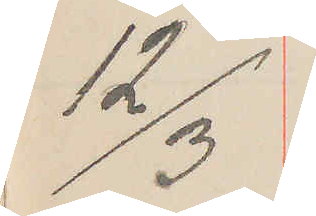12/3
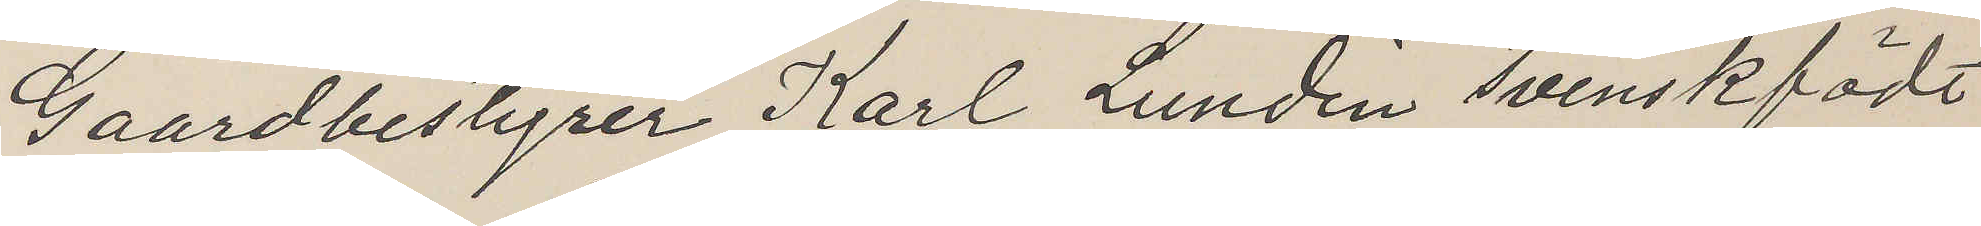Gaardbestyrer Karl Lundin svenskfödt
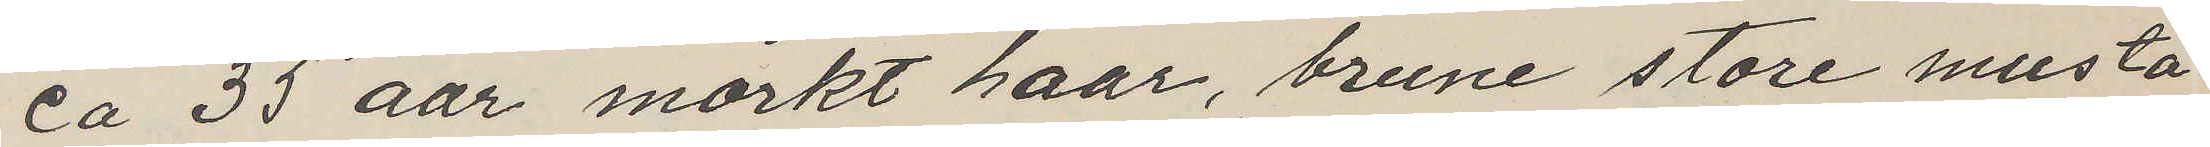ca 35 aar mörkt haar, brune store musta¬
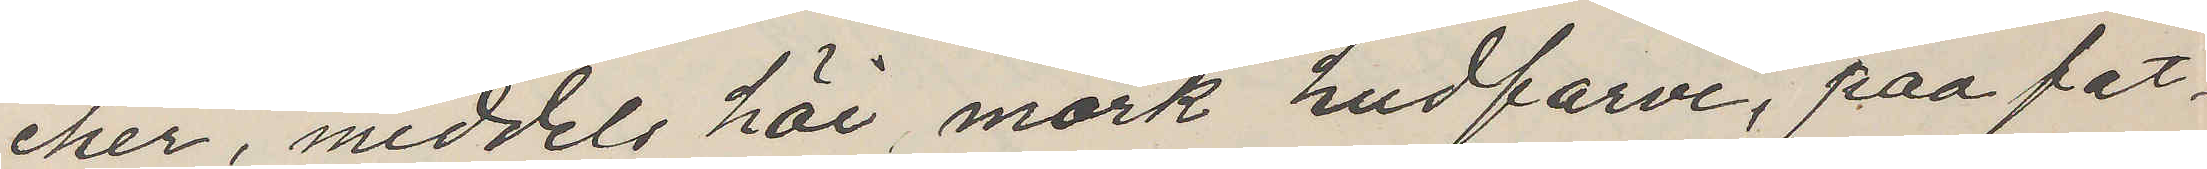cher, middels höi mörk hudfarve, paa fat¬
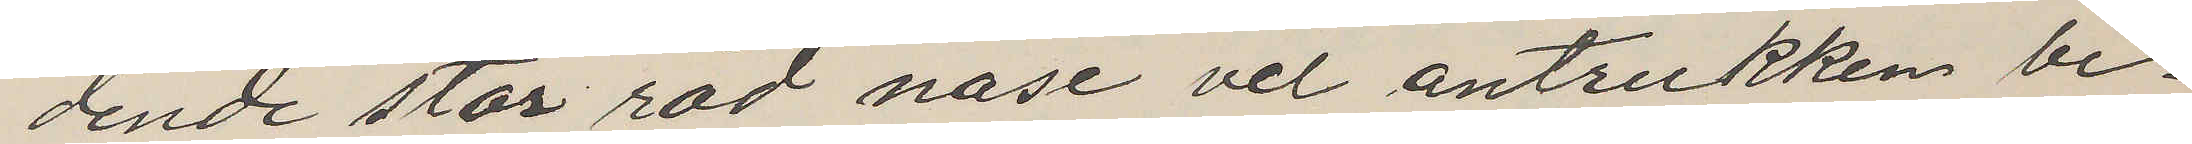dende stor röd näse vel antrukken be¬
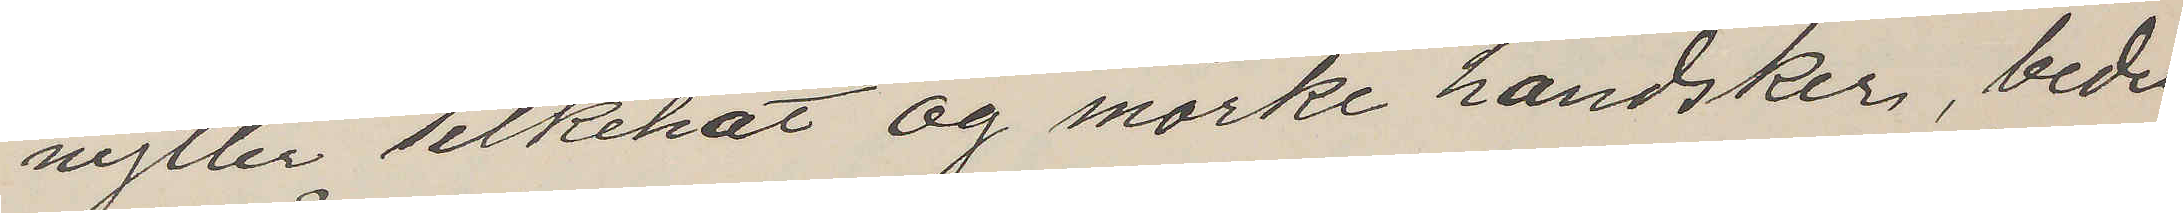nytter silkehat og mörke handsker, bedes
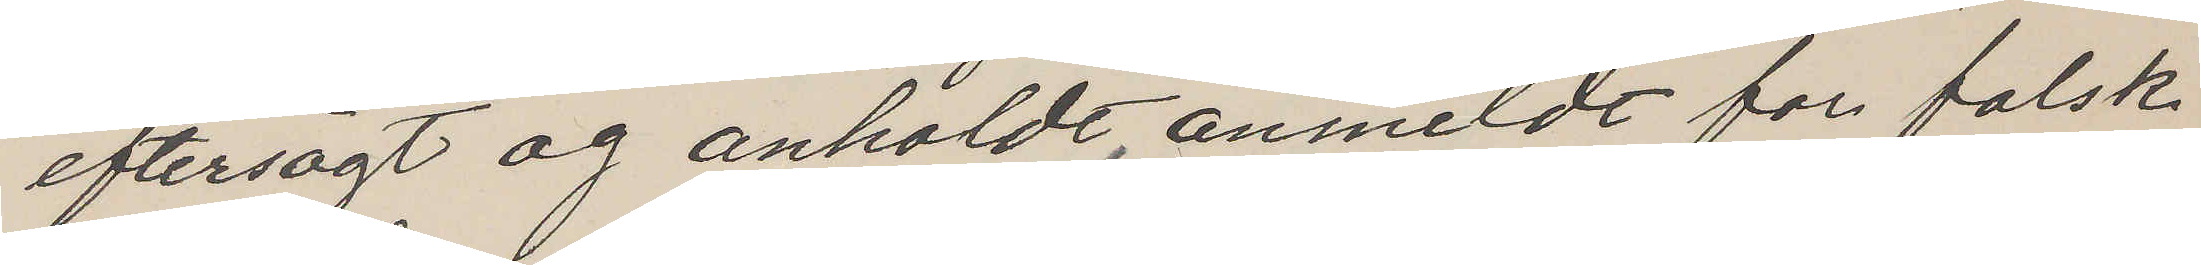eftersögt og anholdt, anmeldt for falsk
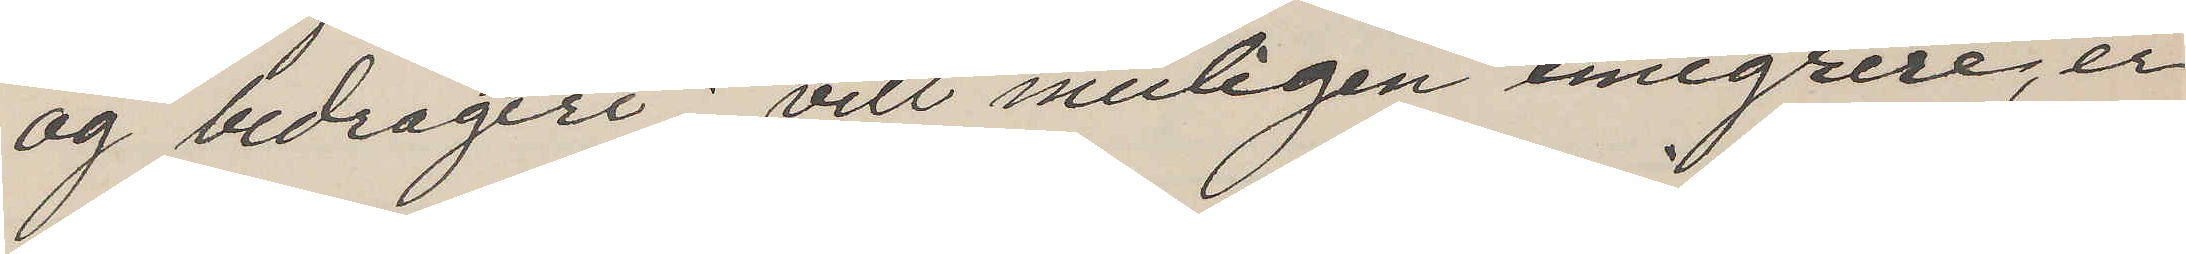og bedrageri; vill muligen emigrere, er
